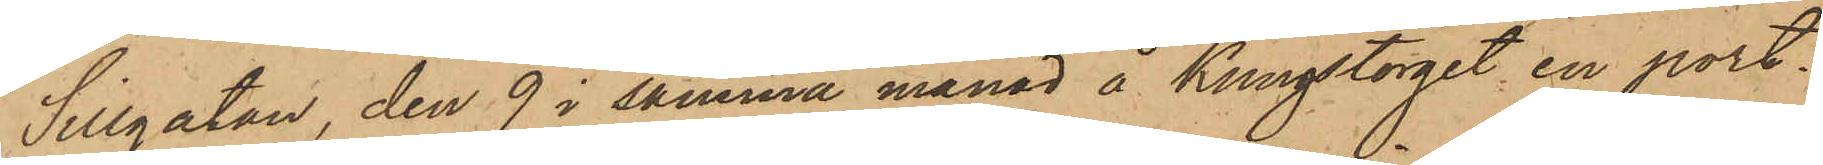Sillgatan, den 9 i samma månad å Kungstorget en port¬
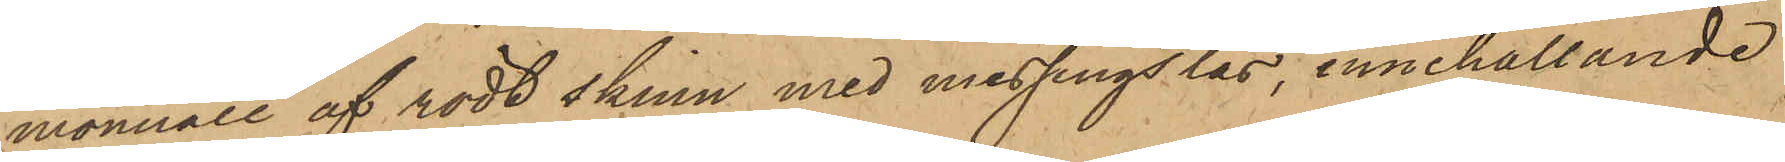monnaie af rödt skinn med messingslås, innehållande
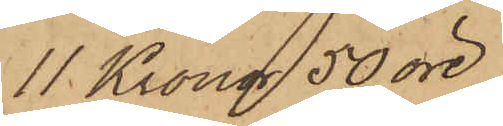11 Kronor 50 öre;
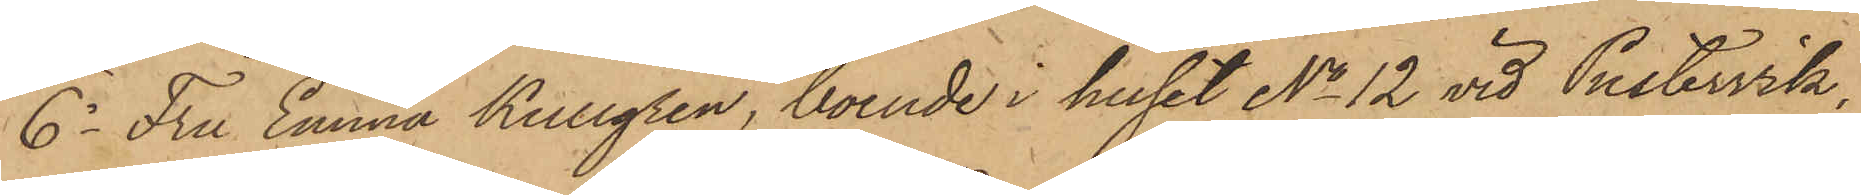6o Fru Emma Kullgren, boende i huset No 12 vid Pustervik,
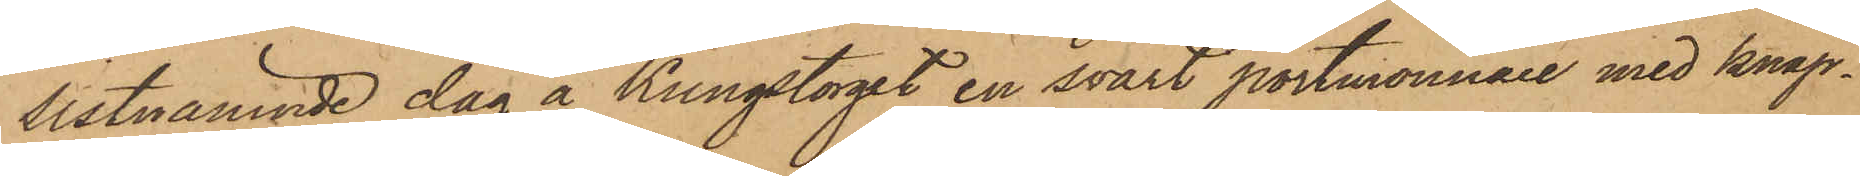sistnämnde dag å Kungstorget en svart portmonnaie med knäp¬
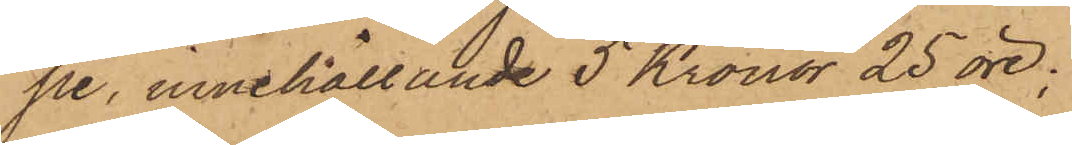pe, innehållande 5 Kronor 25 öre;
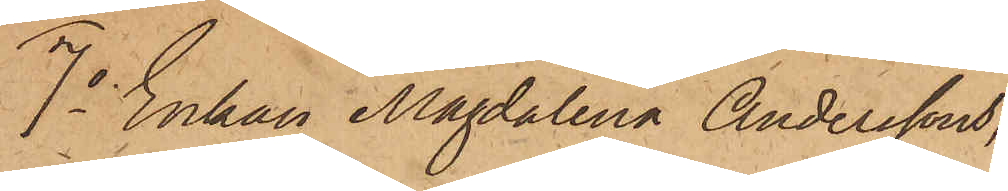7o Enkan Magdalena Anderssons
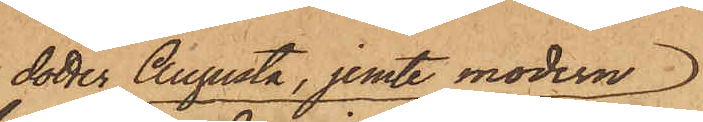dotter Augusta, jemte modern
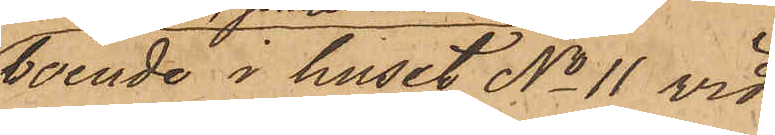boende i huset No 11 vid
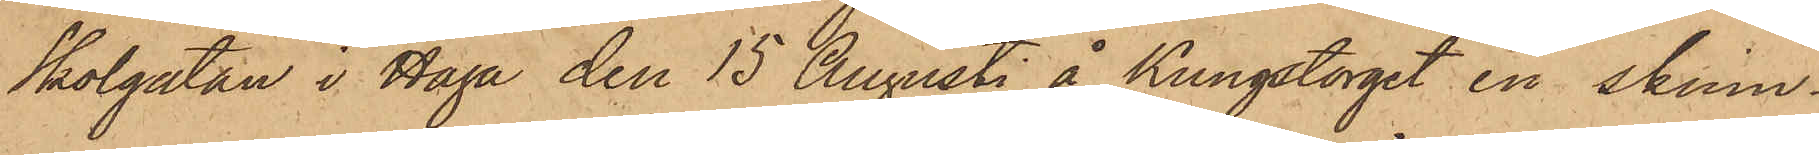Skolgatan i Haga den 15 Augusti å Kungstorget en skinn¬
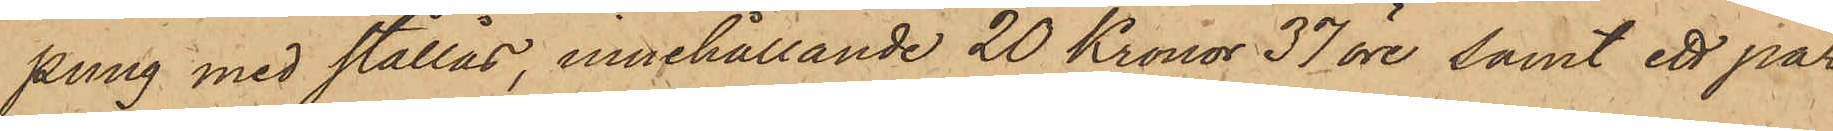ping med stållås, innehållande 20 Kronor 37 öre, samt ett par
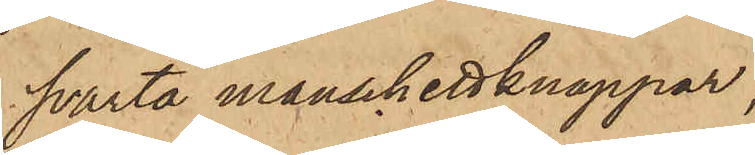svarta manschettknappar;
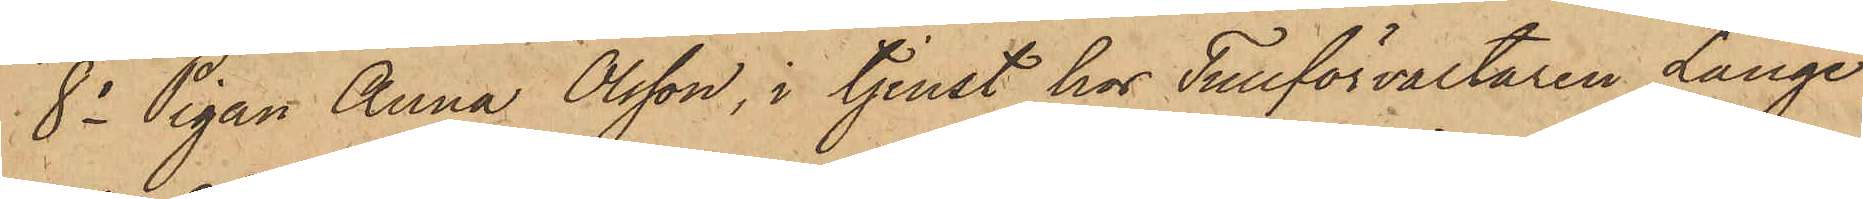8o Pigan Anna Olsson, i tjenst hos Tullförvaltaren Lange
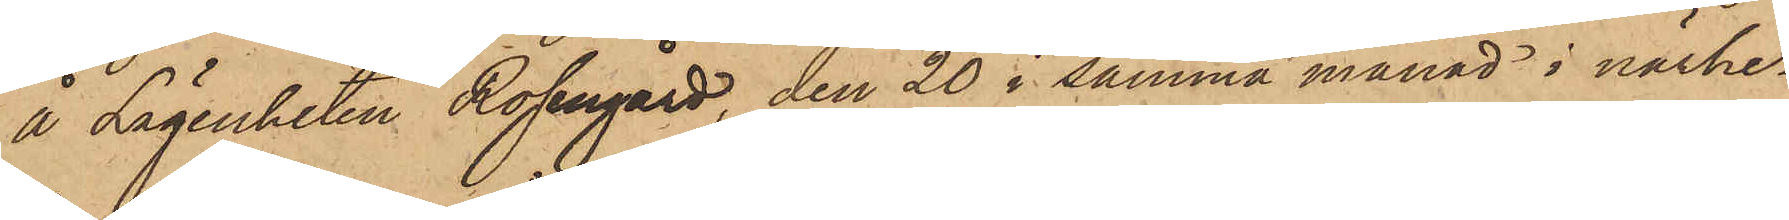å Lägenheten Rosengård, den 20 i samma månad i närhe¬
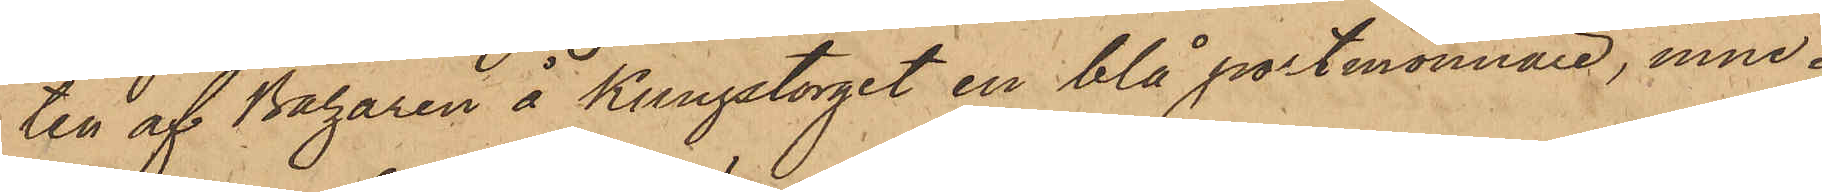ten af Bagaren å Kungstorget en blå portmonnaie, inne¬
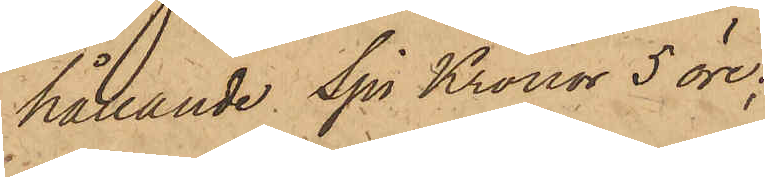hållande Sju Kronor 5 öre;
